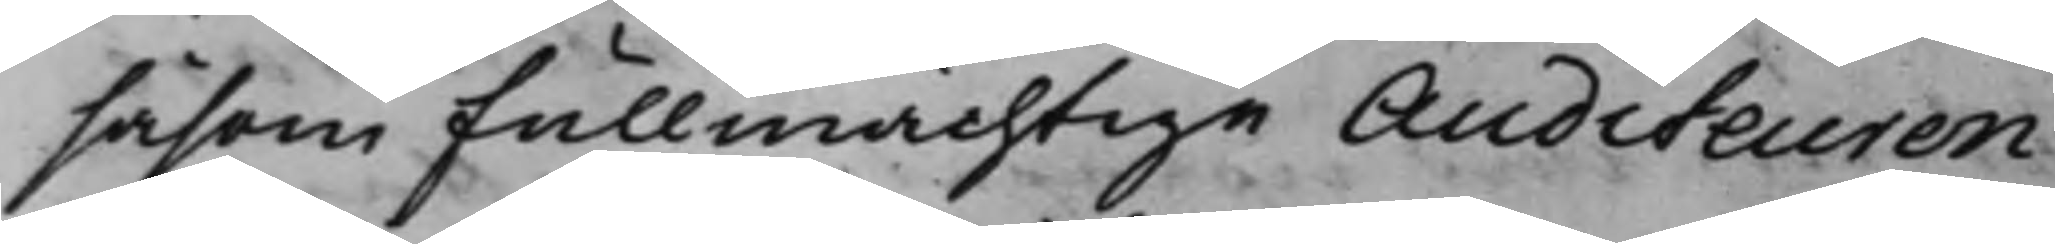såsom Fullmächtige Auditeuren
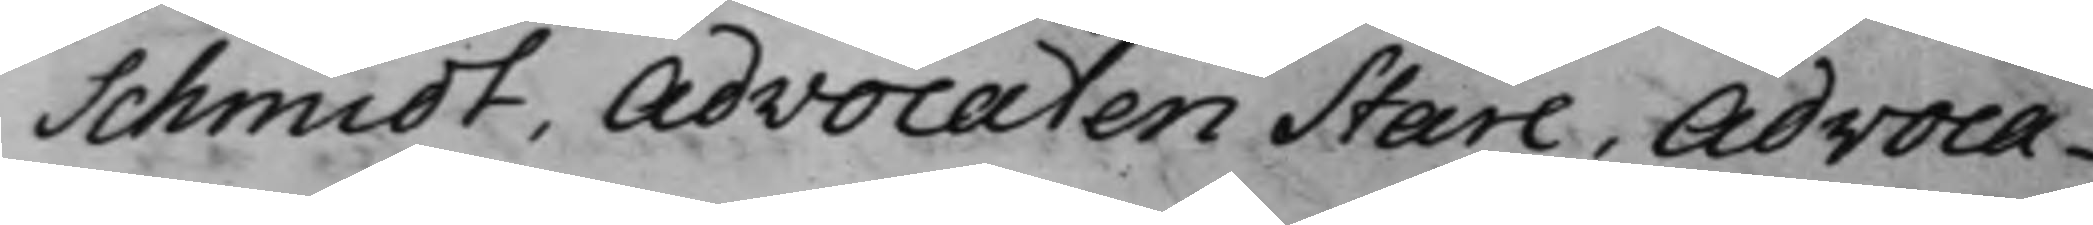Schmidt, Advocaten Stare, Advoca¬
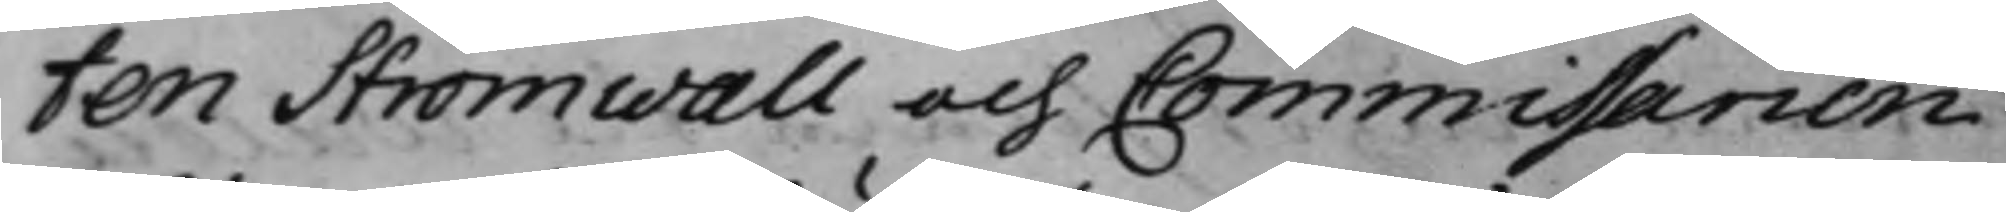ten Strömwall och Commissarien
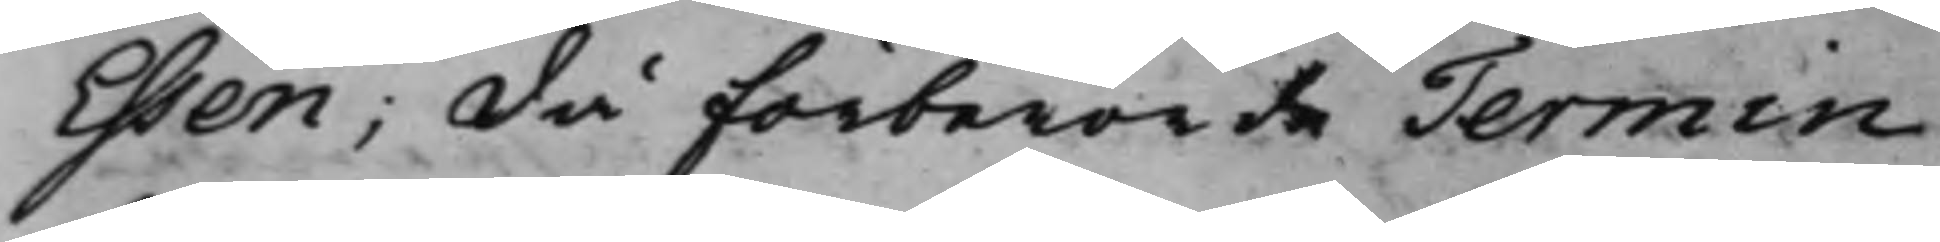Ehsén; Då förberörde Termin
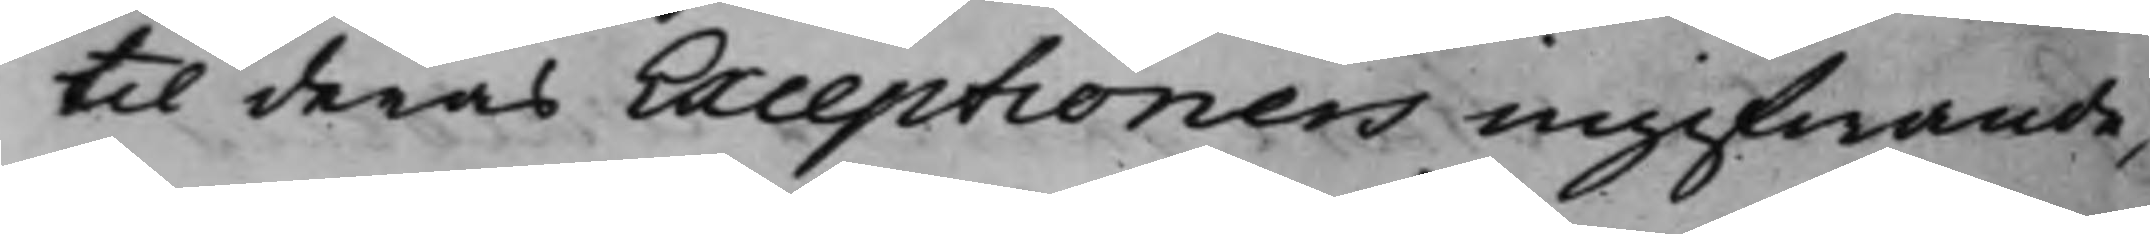til deras Exceptioners ingifwande,
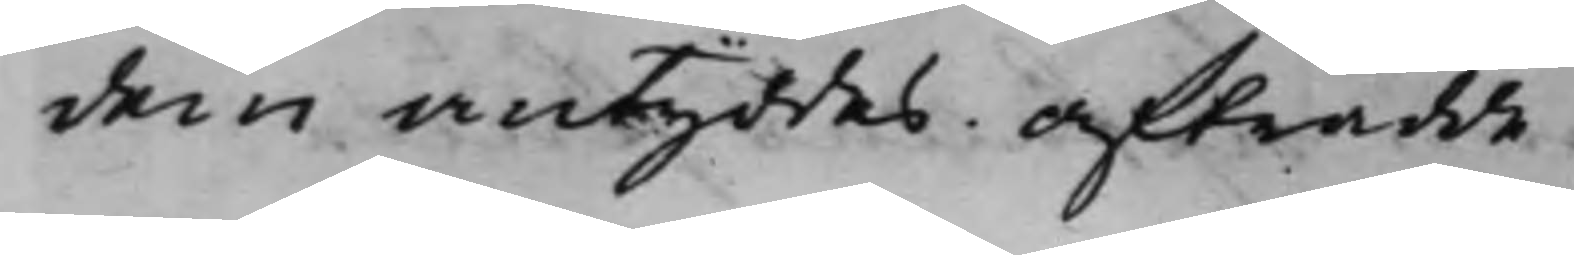dem antyddes. Afträdde.
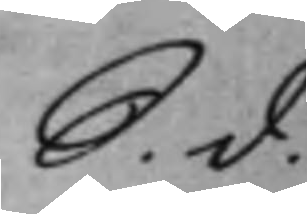S. d.
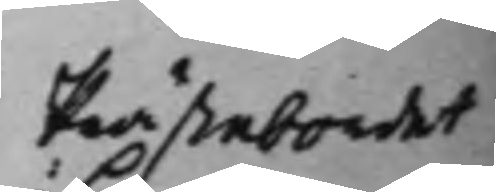Prästebordet
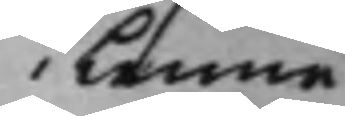i Lenna
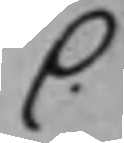C.
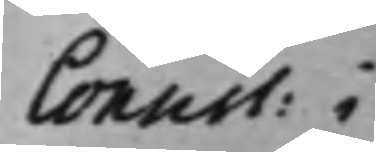Consist: i
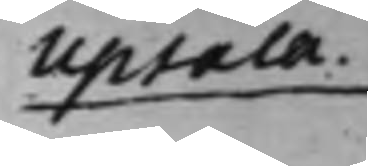Upsala.
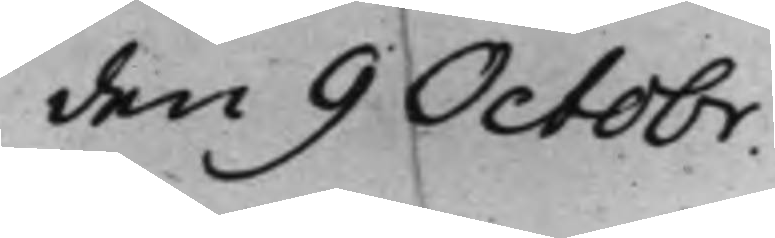den 9 Octobr.
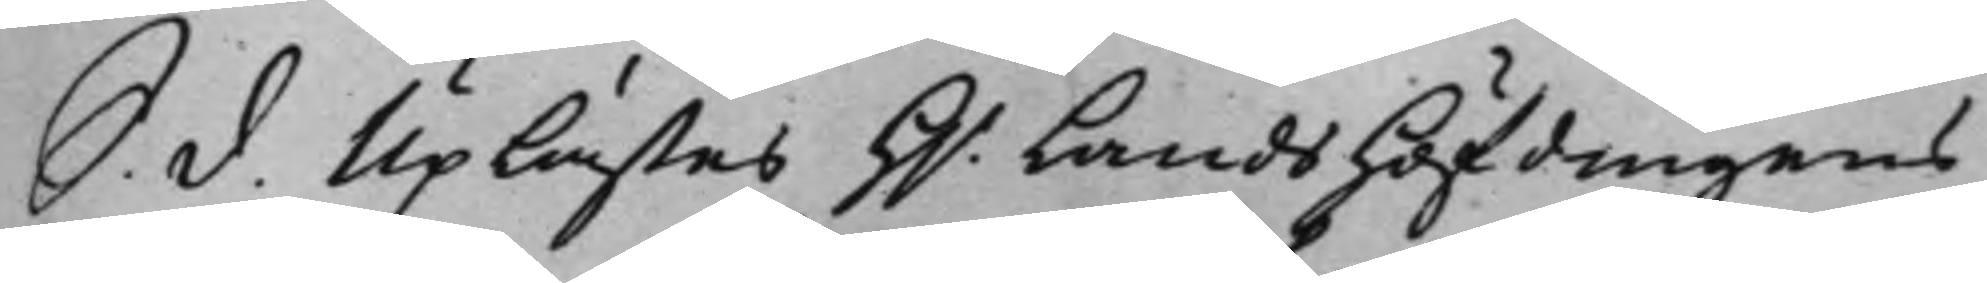S. d. Uplästes H.r Landshöfdingens
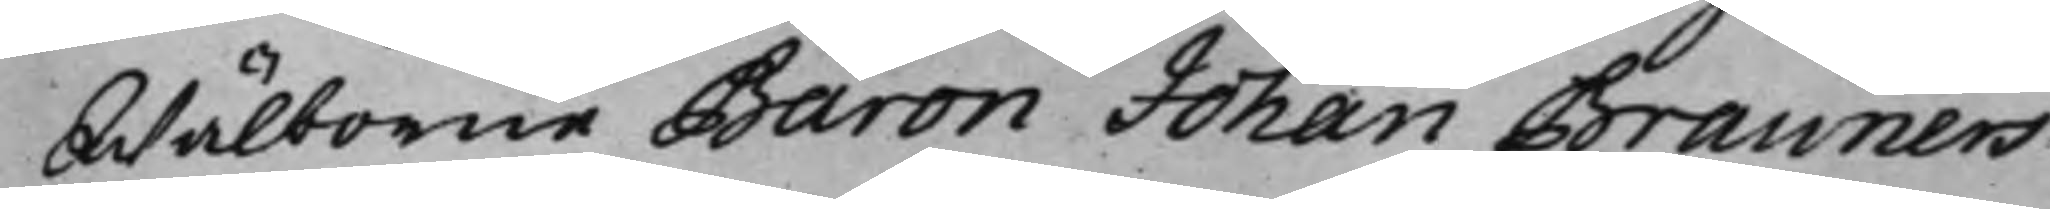Wälborne Baron Johan Brauners
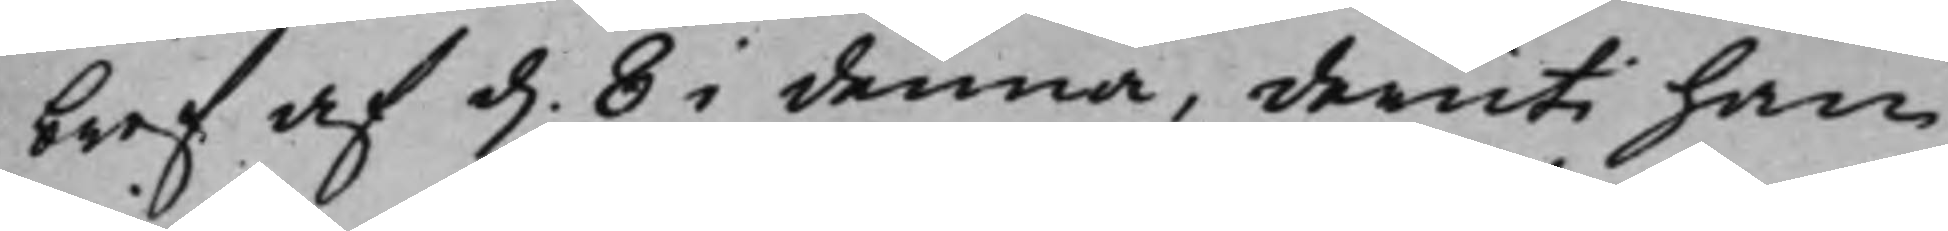bref af d. 8 i denna, deruti han
